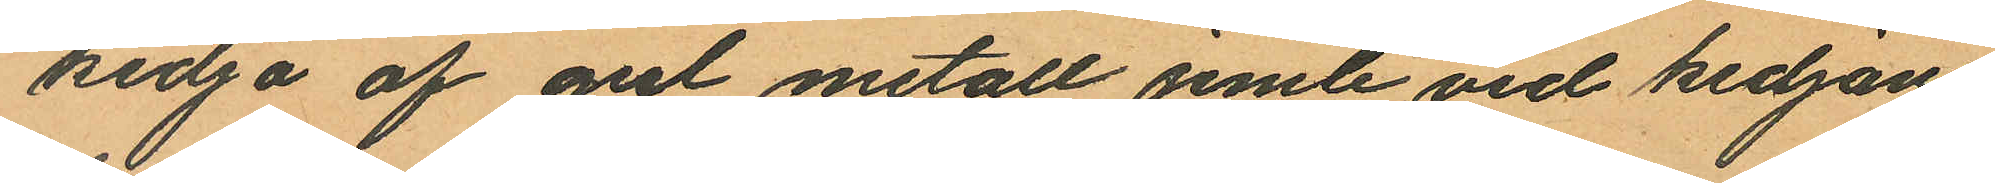kedja af gul metall jemte vid kedjan
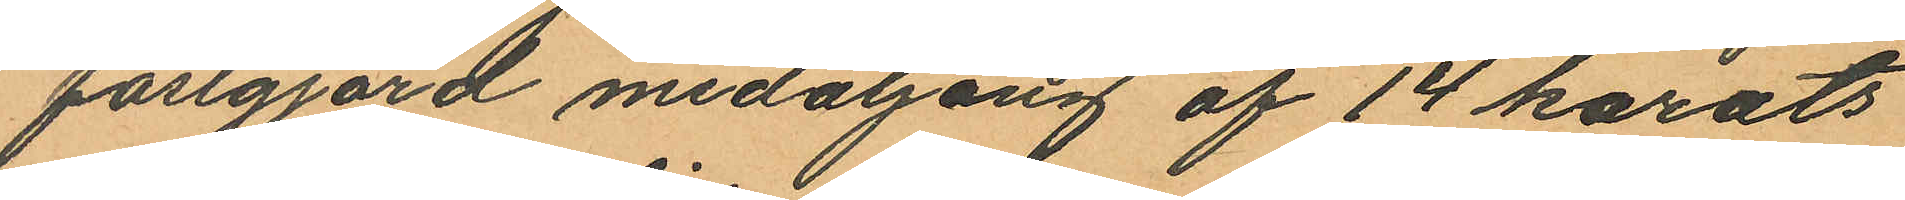fastgjord medaljong af 14 karats
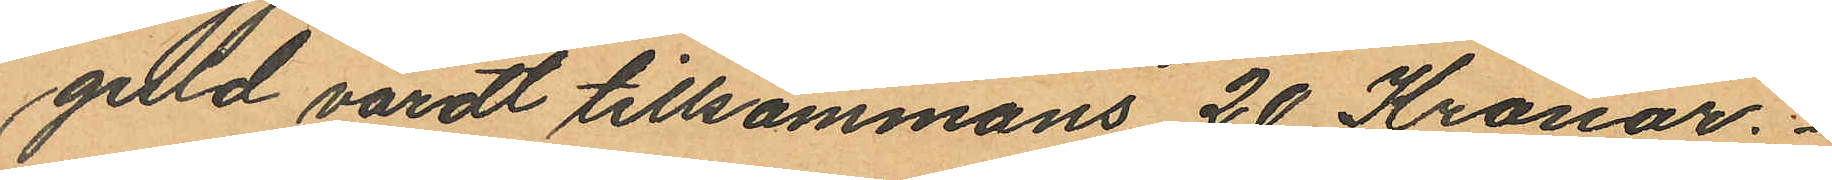guld värdt tillsammans 20 Kronor.
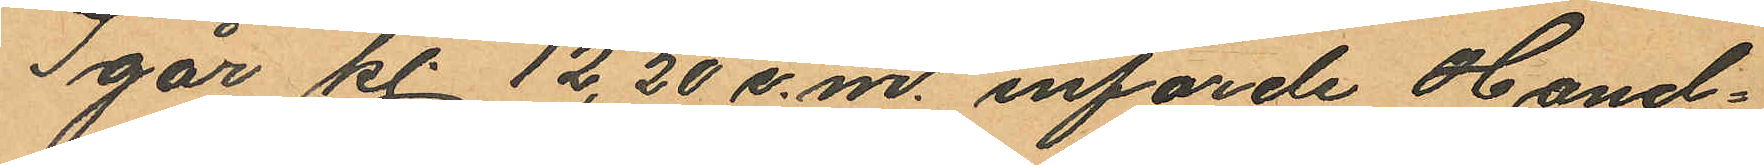Igår kl 12,20 e.m. införde Hand¬
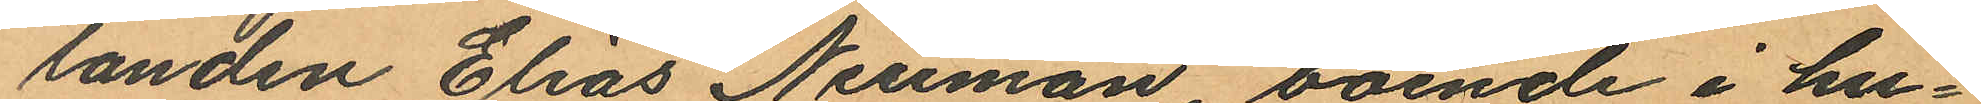landen Elias Neuman, boende i hu¬
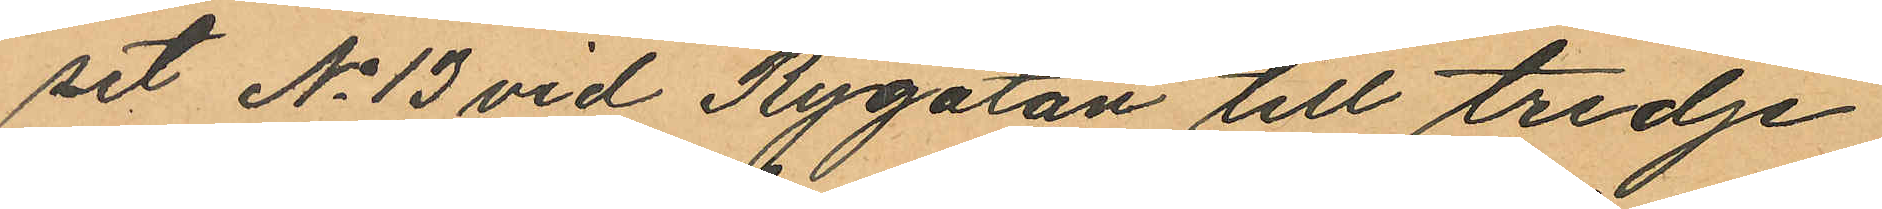set No 13 vid Rygatan till tredje
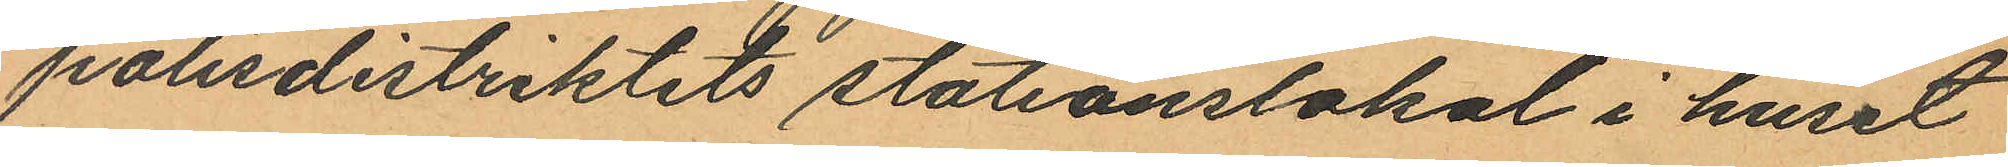polisdistriktits stationslokal i huset
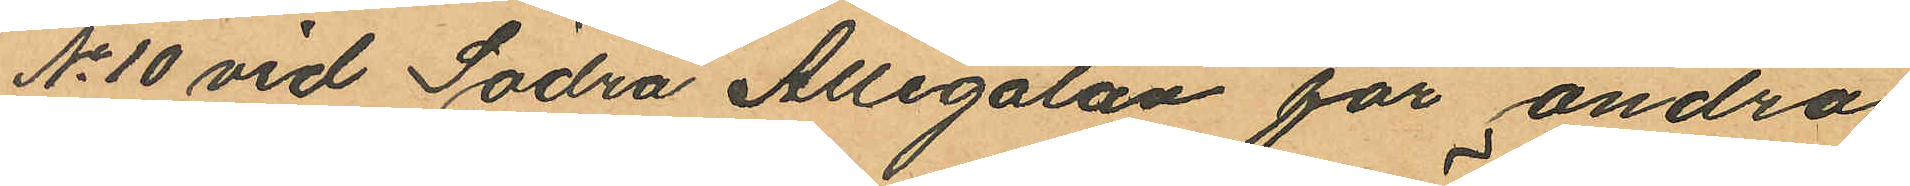No 10 vid Södra Allégatan för andra
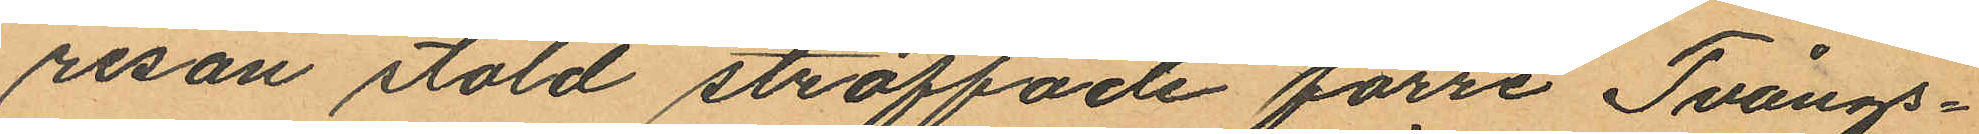resan stöld straffade förre Tvångs¬
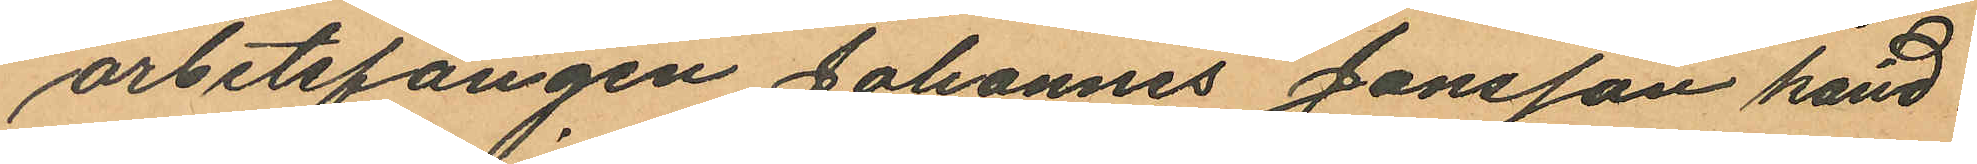arbetsfången Johannes Jonsson känd
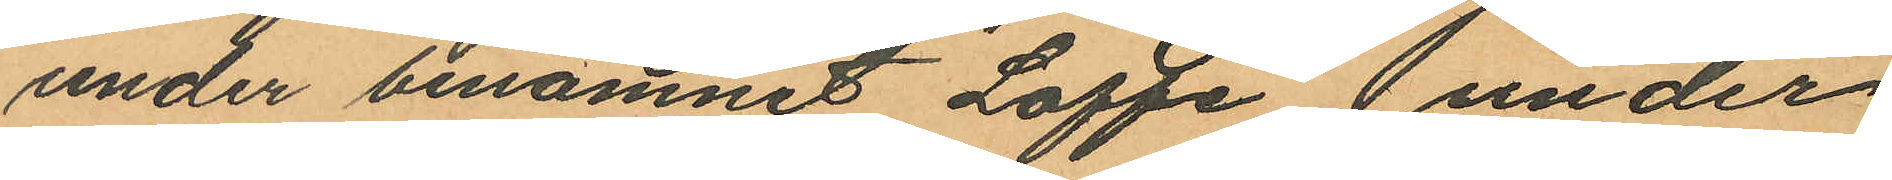under binamnet "Loffe" under
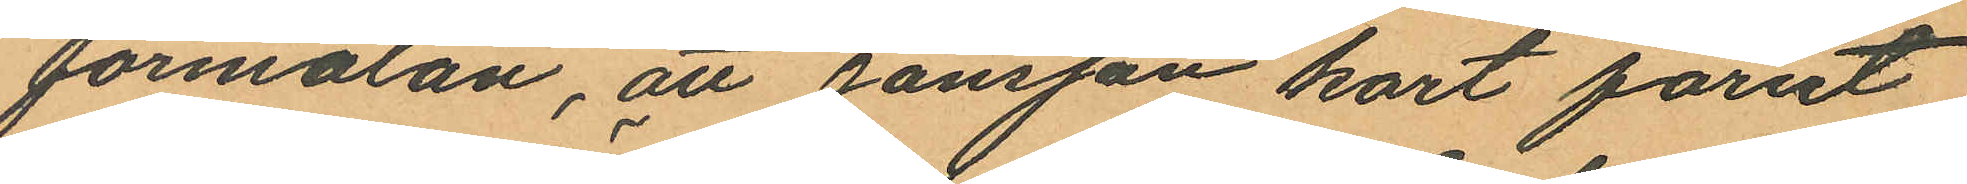förmälan, att Jonsson kort förut
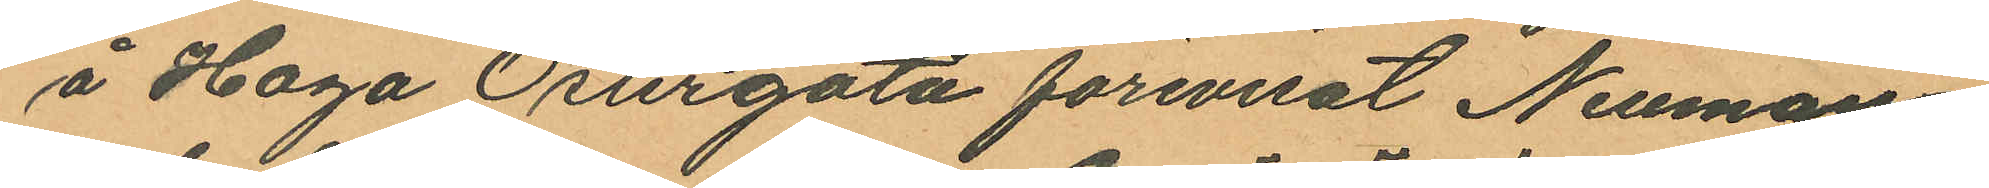å Haga Ösurgata förevisat Neuman
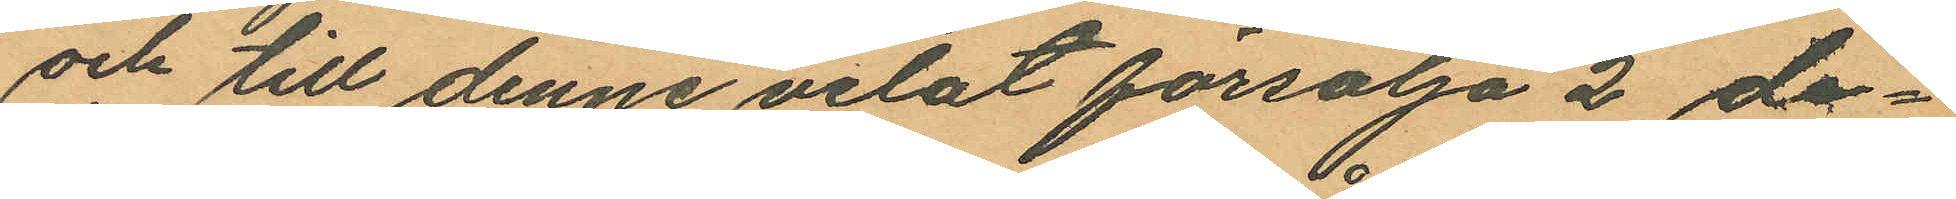och till denne velat försälja 2 de¬
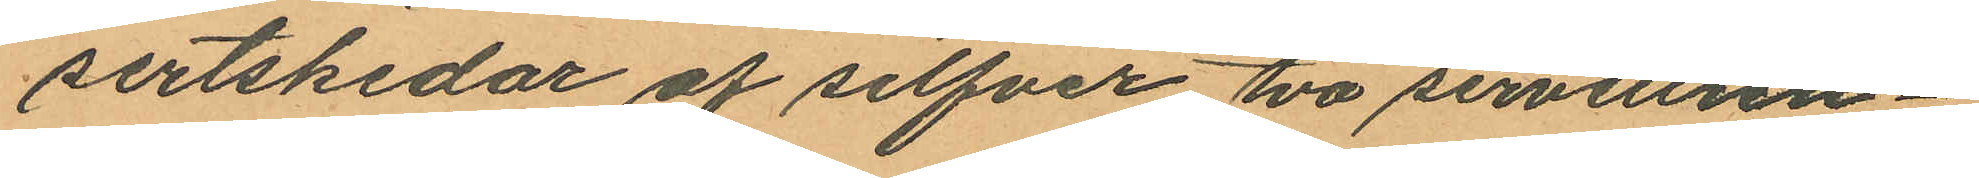sertskedar af silfver två servettrin¬
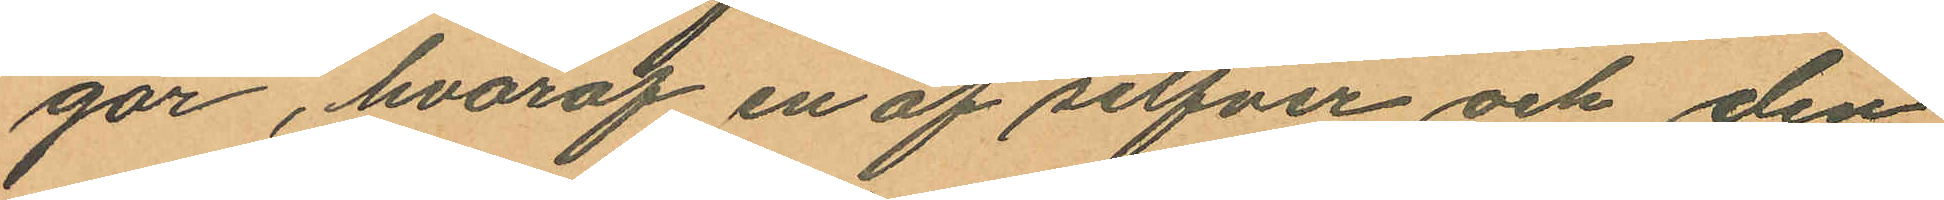gar, hvaraf en af silfver och den
